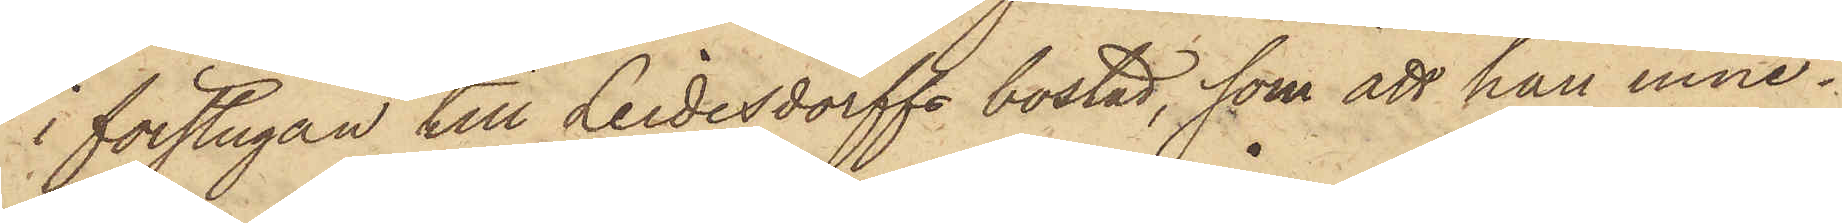i förstugan till Leidesdorffs bostad, som att han inne¬
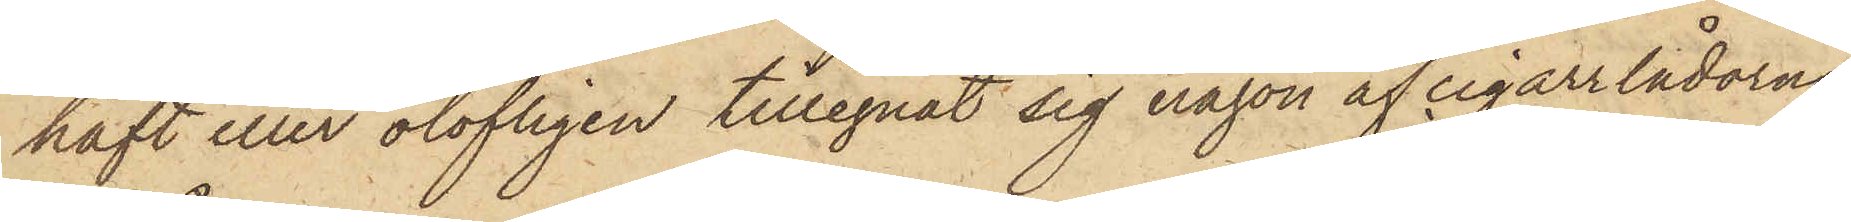haft eller olofligen tillegnat sig någon af cigarrlådorna
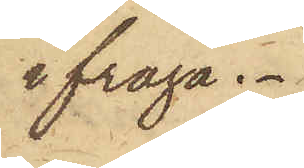ifråga.
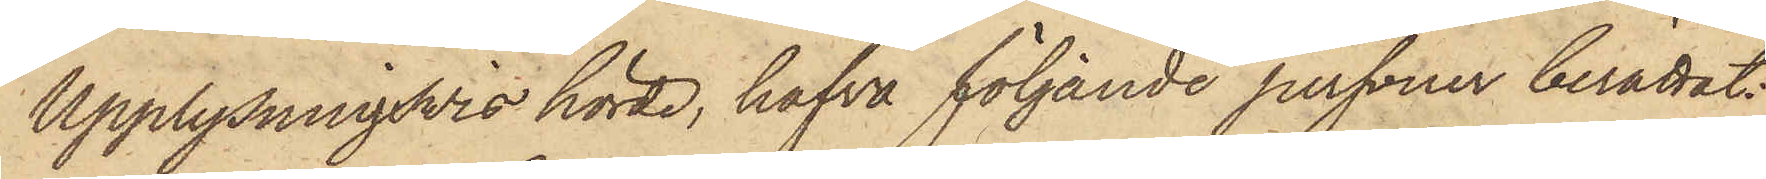Upplysningsvis hörde, hafva följande personer berättat:
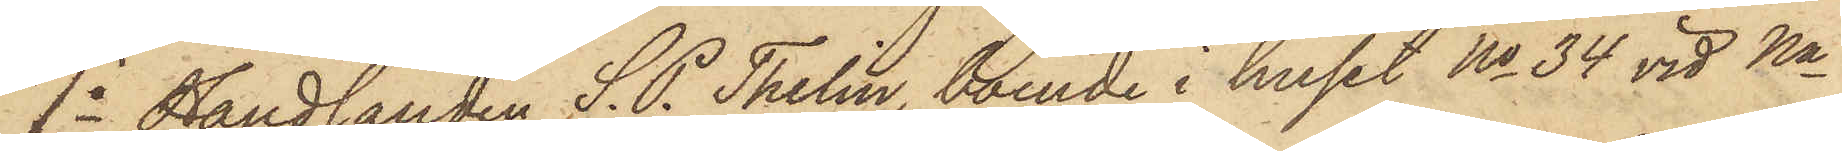1o Handlanden S. P. Thelin, boende i huset No 34 vid Na
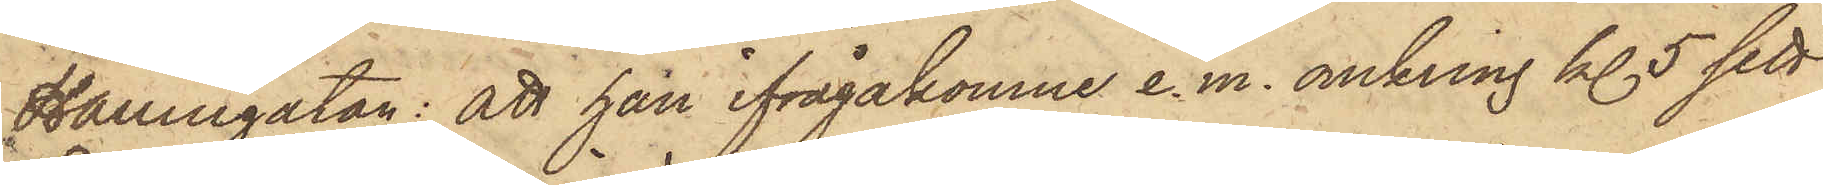Hamngatan: att han ifrågakomne e.m. omkring kl. 5 sett
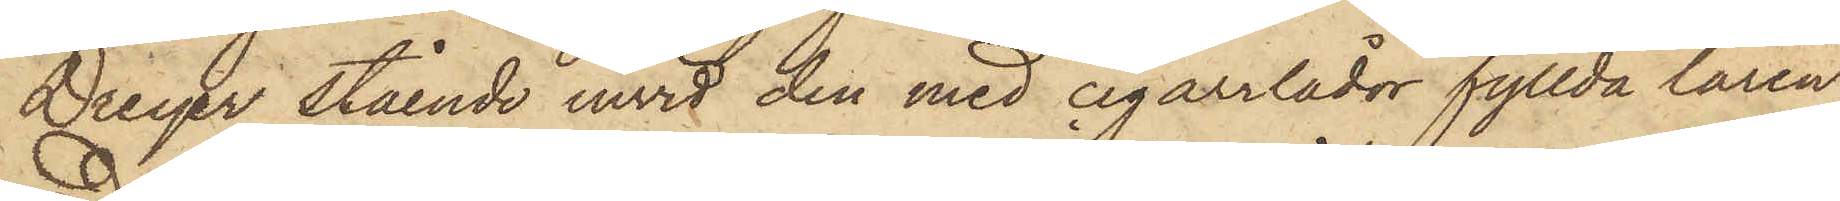Dreyer stående invid den med cigarrlådor fyllda låren
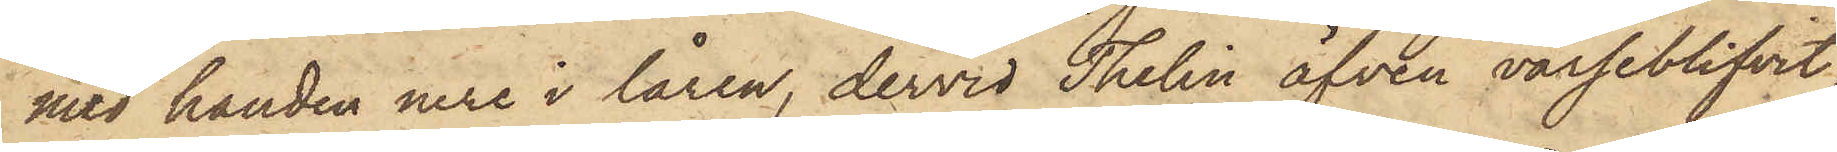med handen nere i låren, dervid Thelin äfven varseblifvit
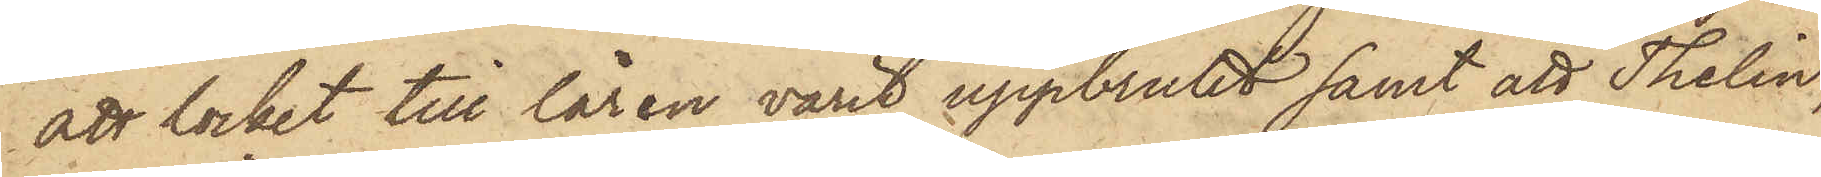att locket till låren varit uppbrutet samt att Thelin,
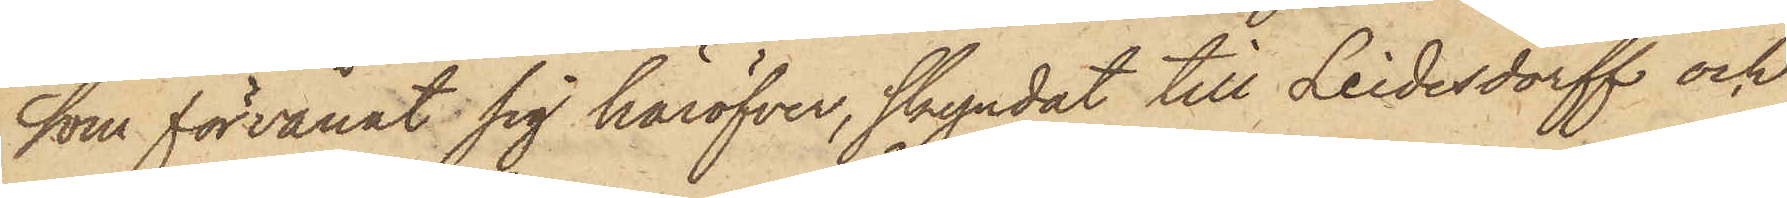som förvånat sig häröfver, skyndat till Leidesdorff och
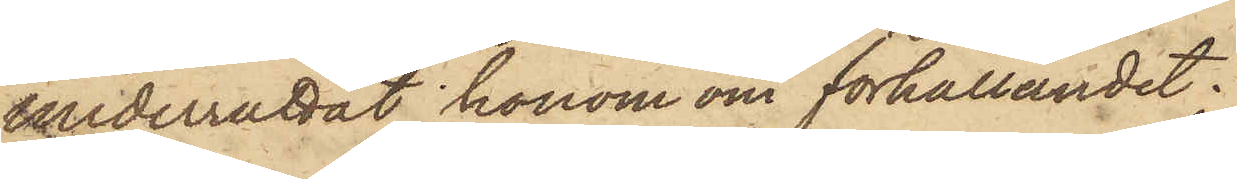underrättat honom om förhållandet.
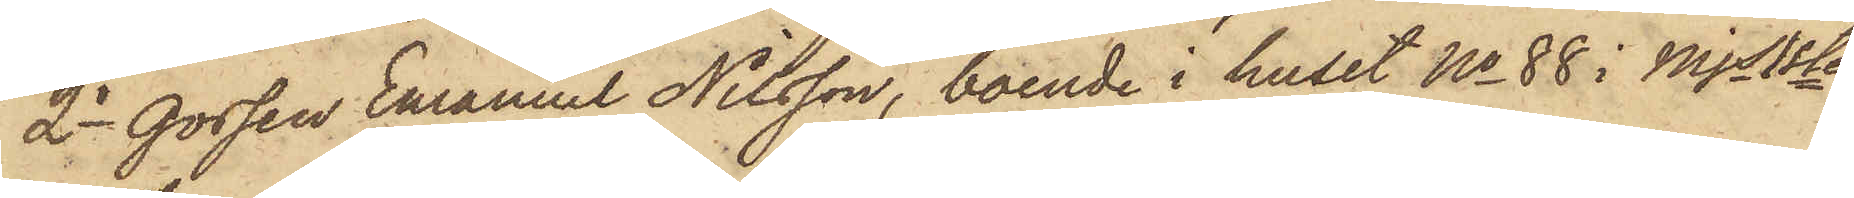2o Gossen Emanuel Nilsson, boende i huset No 88 i Mjs 1ste
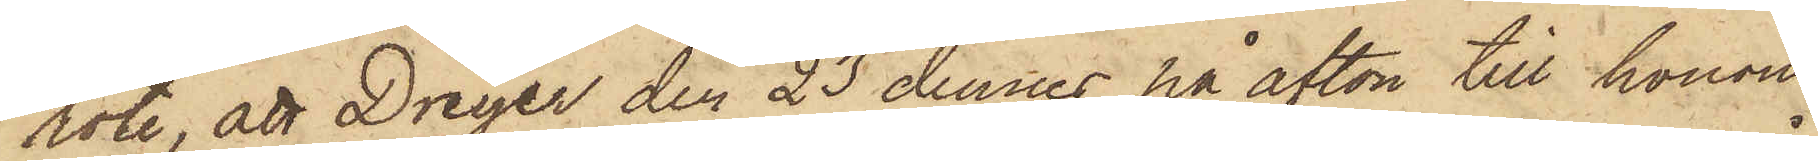rote, att Dreyer den 23 dennes på afton till honom
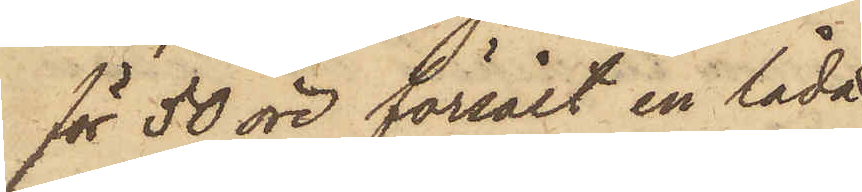för 50 öre försålt en låda
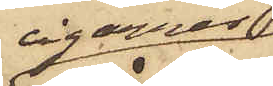cigarrer
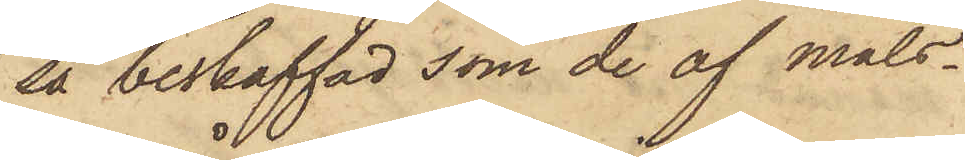så beskaffad som de af måls¬
